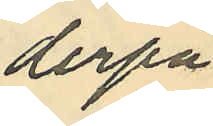derpå
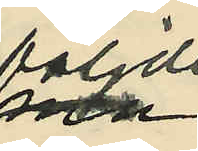följde
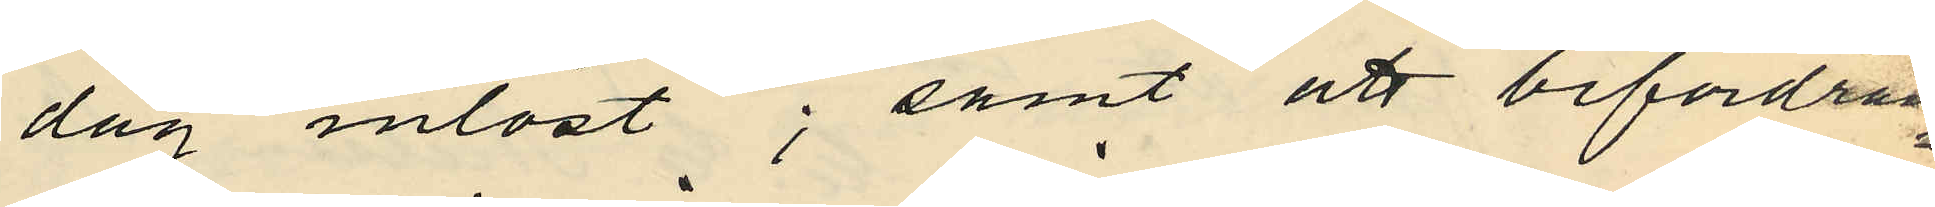dag inlöst; samt att befordran¬
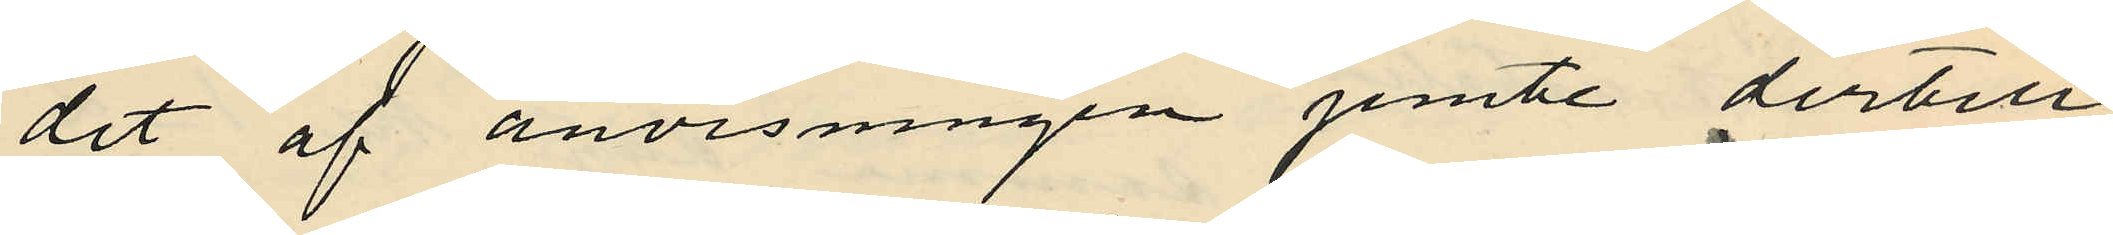det af anvisningen jemte dertill
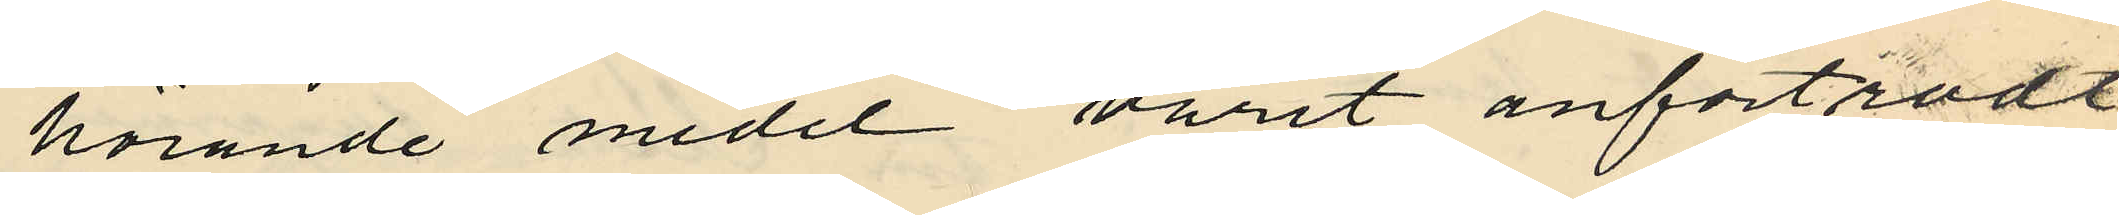hörande medel varit anforträdt
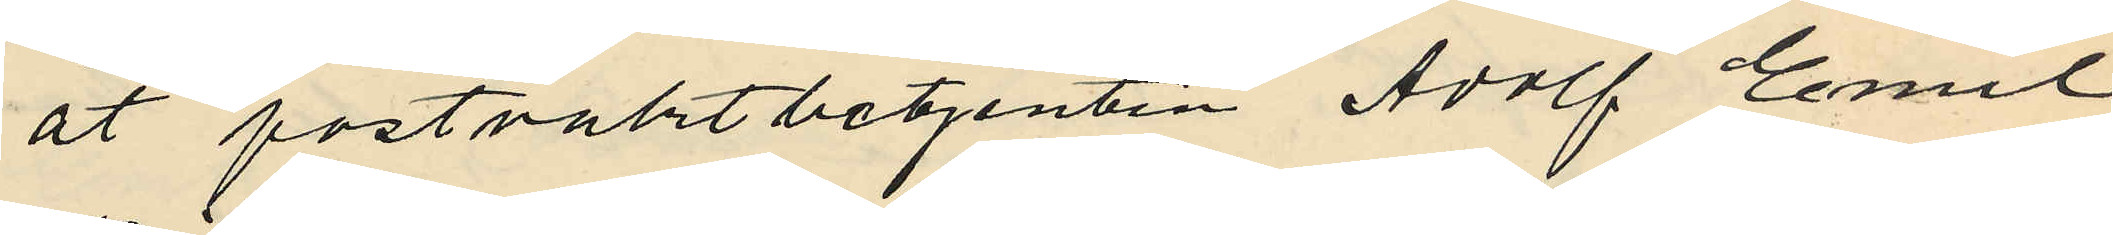åt postvaktbetjenten Adolf Emil
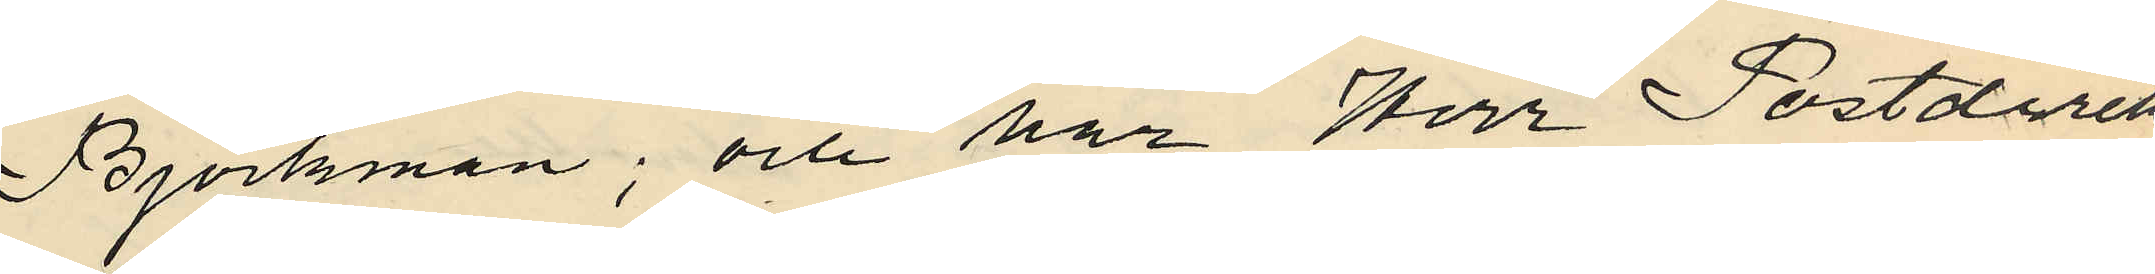Björkman; och har Herr Postdirek¬
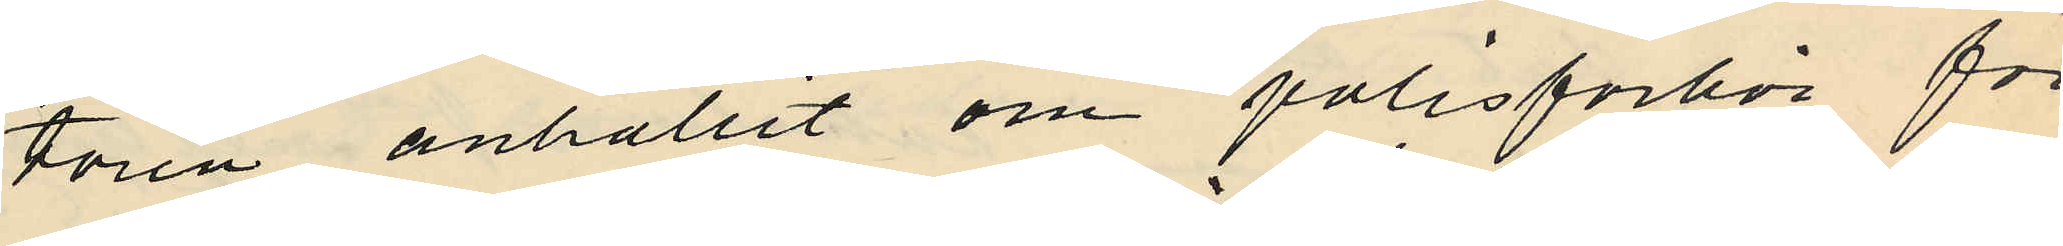tören anhållit om polisförhör för
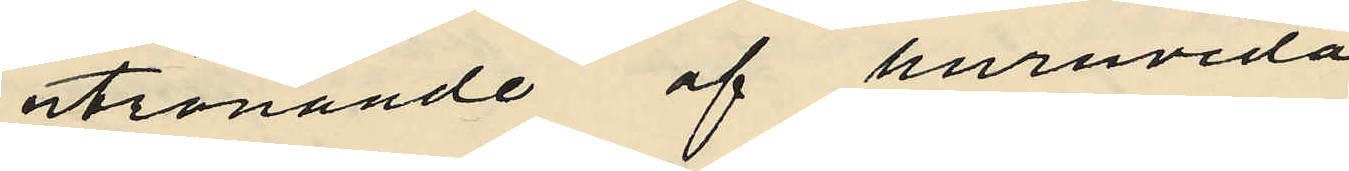utrönande af huruvida
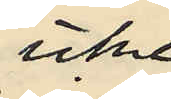icke
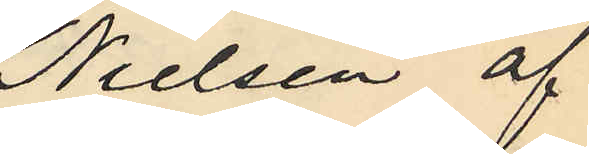Nielsen af
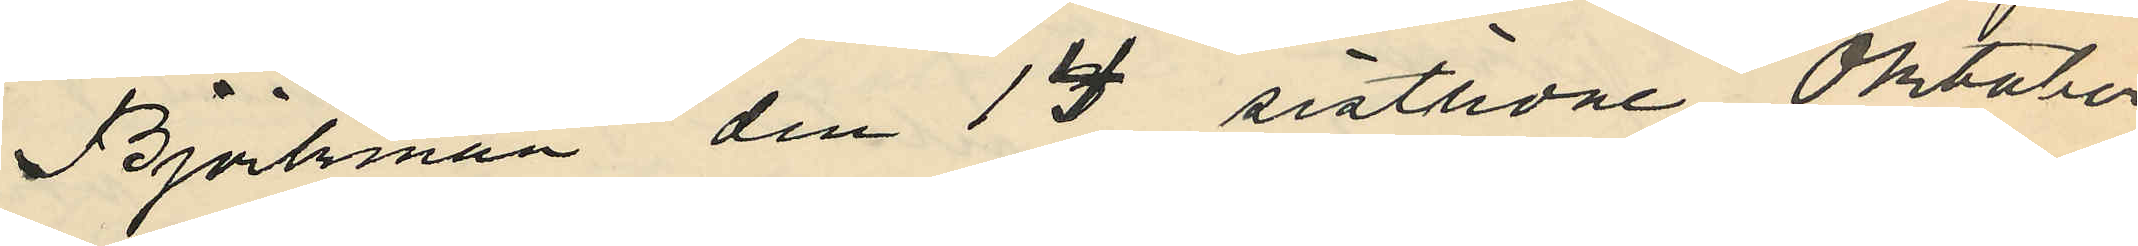Björkman den 13 sistlidne Oktober
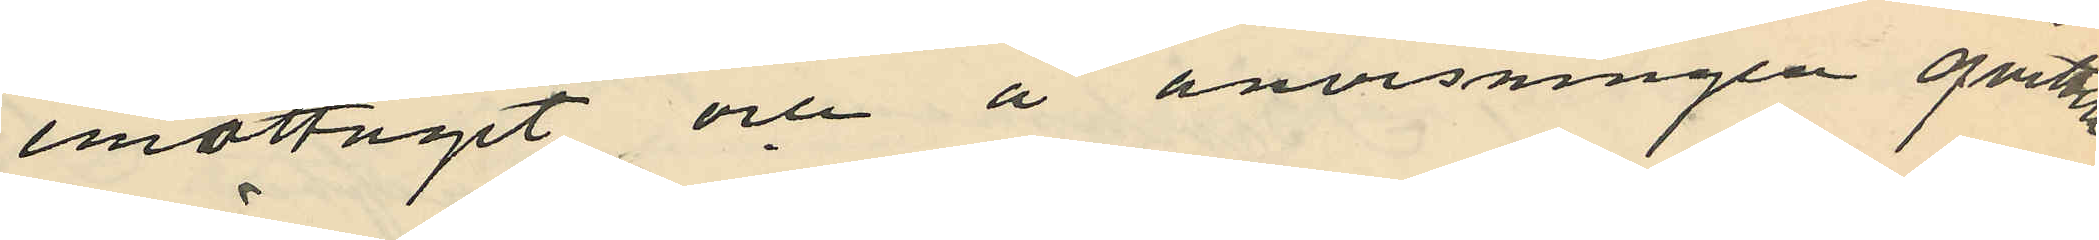emottagit och å anvisningen Qvitterat
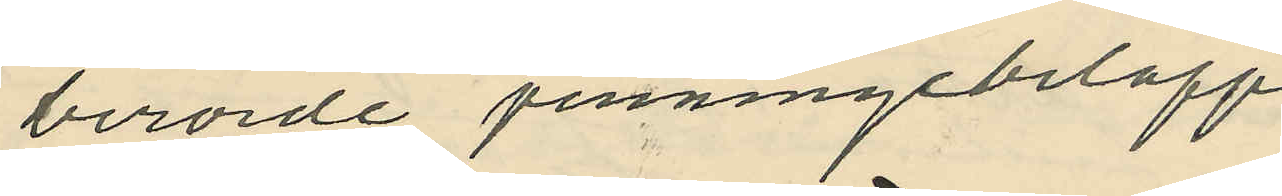berörde penningebelopp.
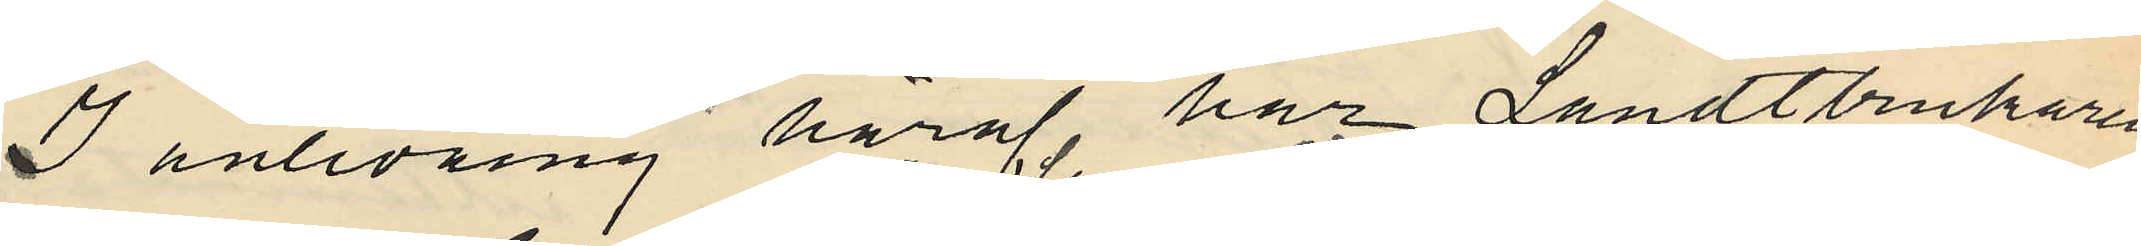I anledning häraf har Landtbrukaren
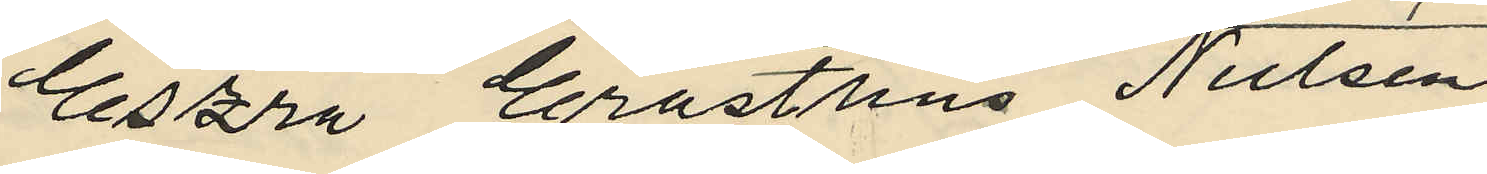Eszra Erasthus Nielsen
